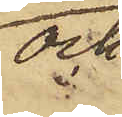och
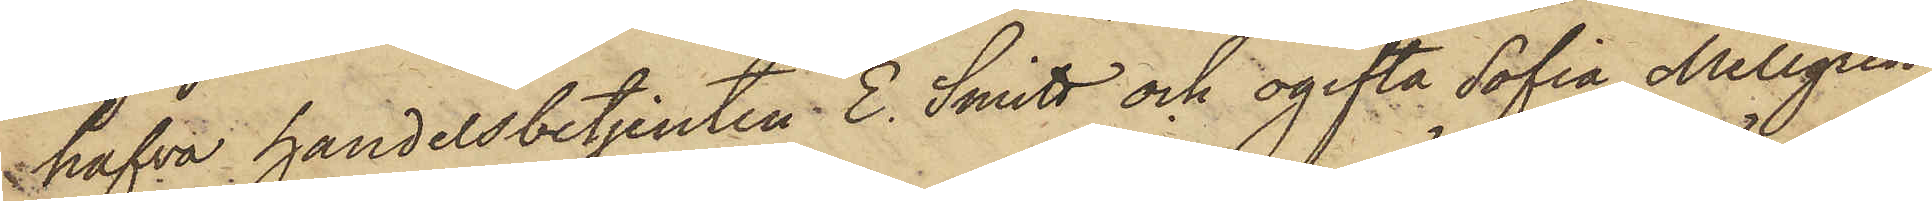hafva handelsbetjenten E. Smitt och ogifta Sofia Mellgren,
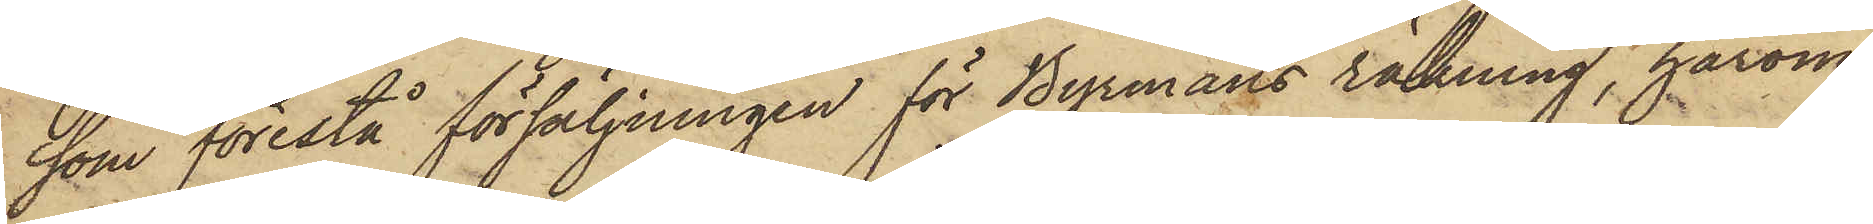som förestå försäljningen för Byrmans räkning, härom
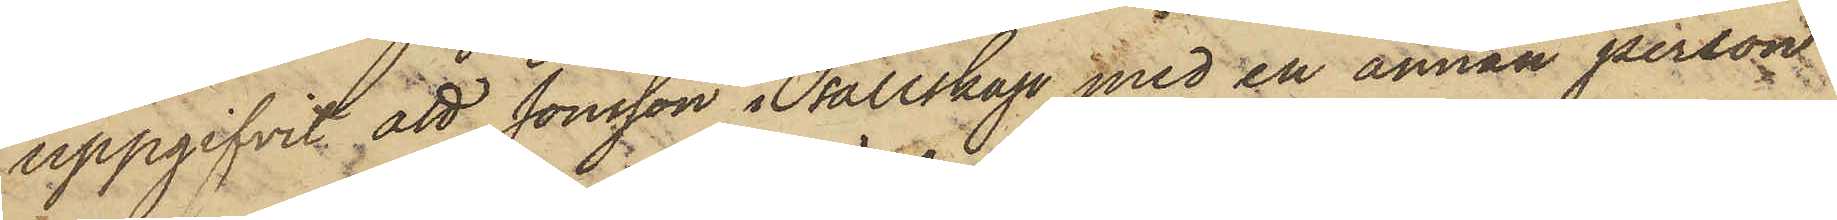uppgifvit att Jönsson i sällskap med en annan person
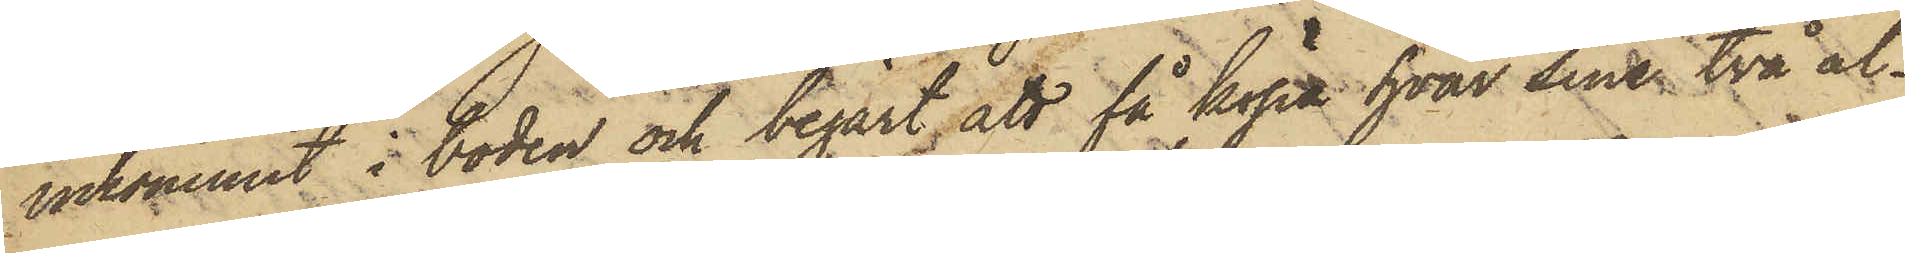inkommit i boden och begärt att få köpa hvar sina två al¬
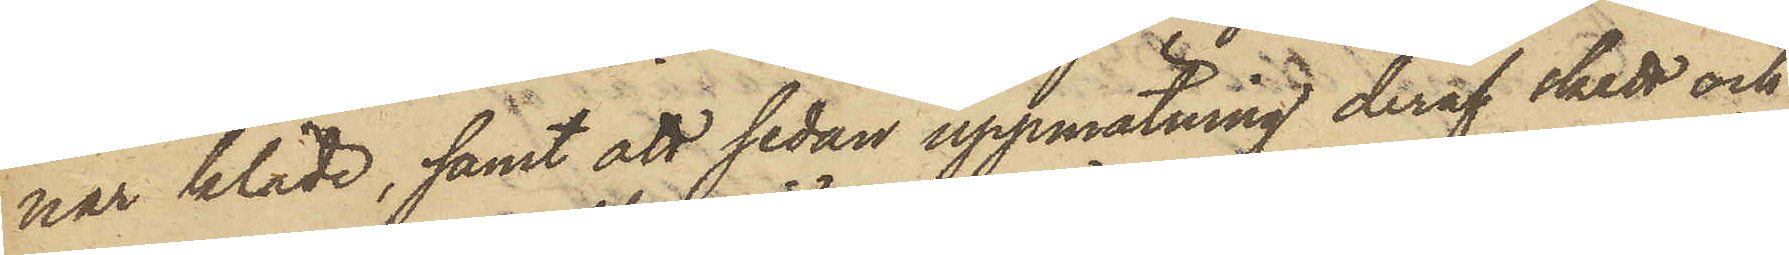nar kläde, samt att sedan uppmätning deraf skett och
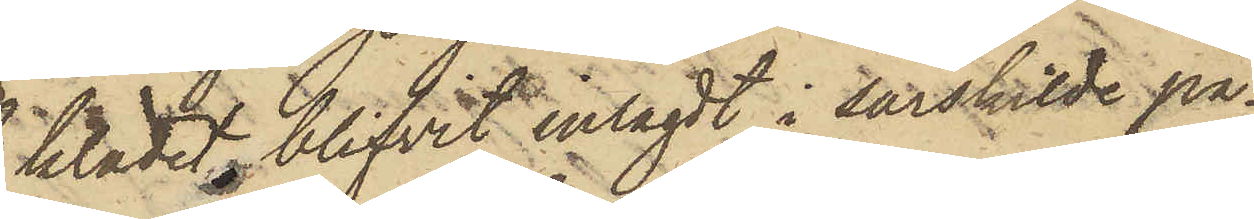klädet blifvit inlagdt i särskilde pa¬
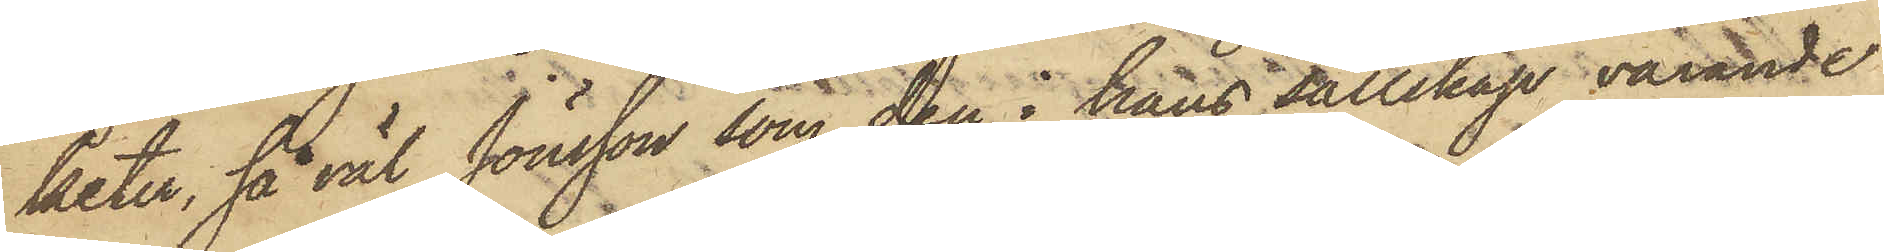keter, så väl Jönsson, som den i hans sällskap varande
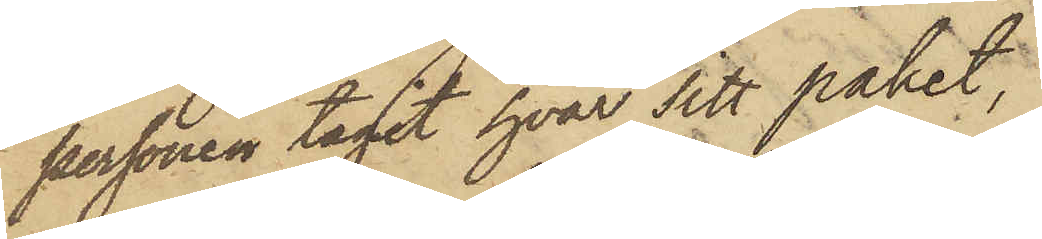personen tagit hvar sitt paket,
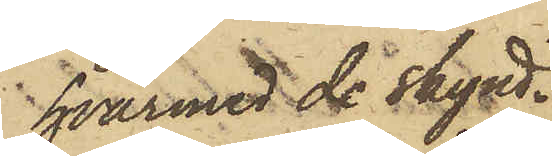hvarmed de skynd¬
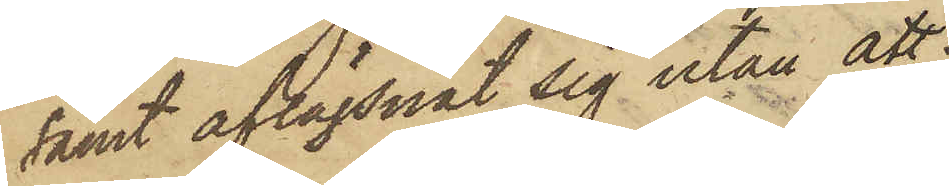samt aflägsnat sig utan att
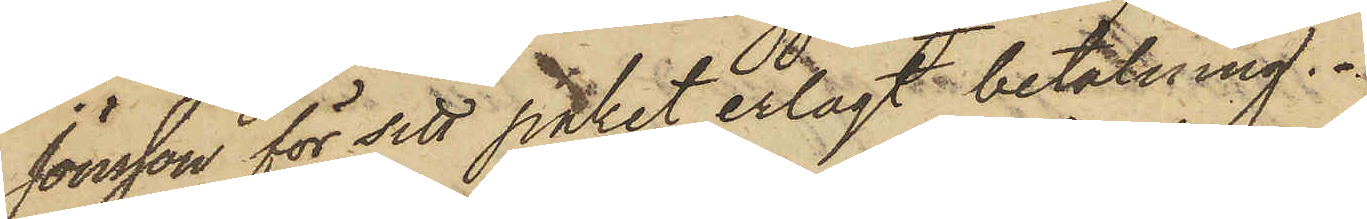Jönsson för sitt paket erlagt betalning.
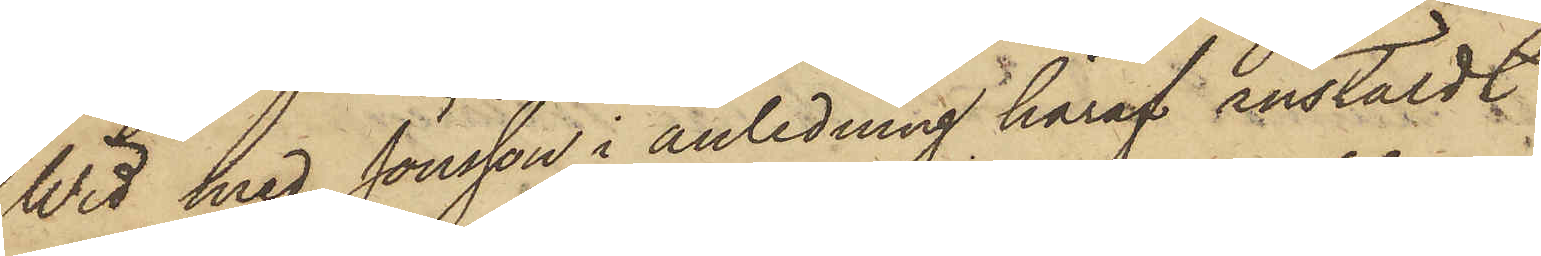Wid med Jönsson i anledning häraf anstäldt
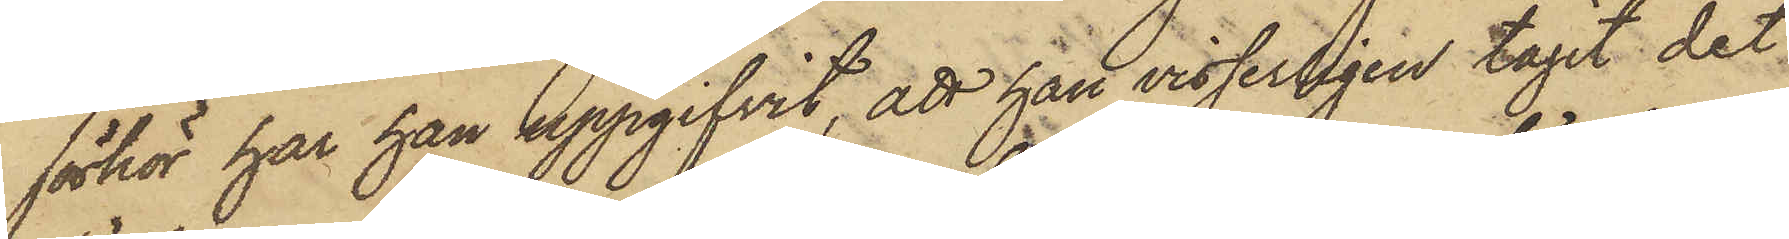förhör har han uppgifvit, att han visserligen tagit det
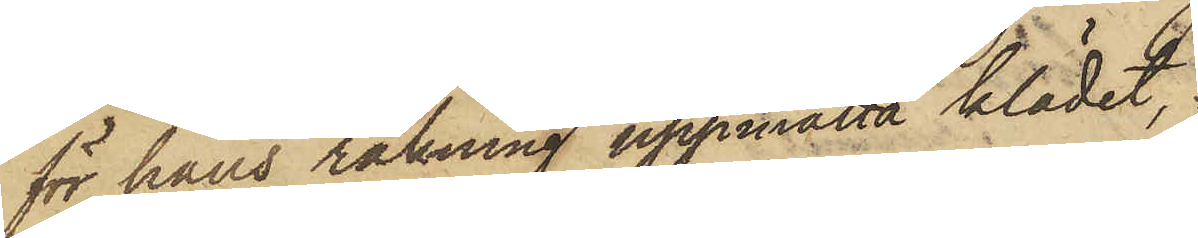för hans räkning uppmätta klädet,
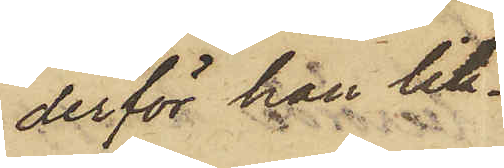derför han lik¬
